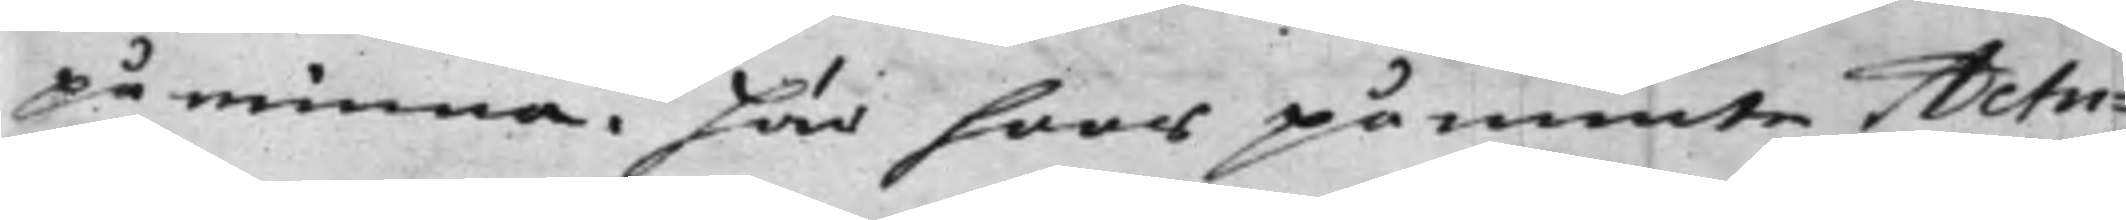påminna. Här hoos påminte Actu¬
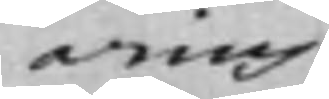arius
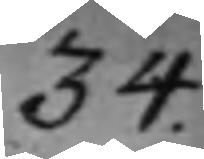34.
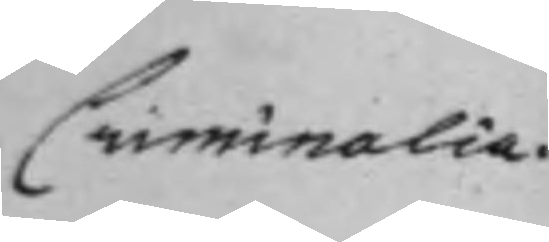Criminalia.
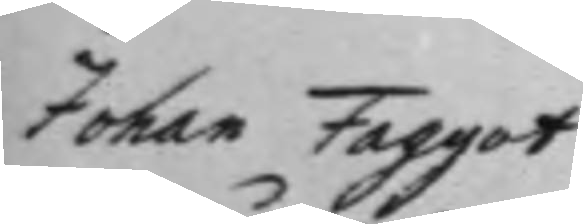Johan Faggot
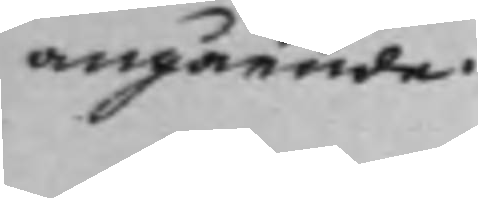angående.
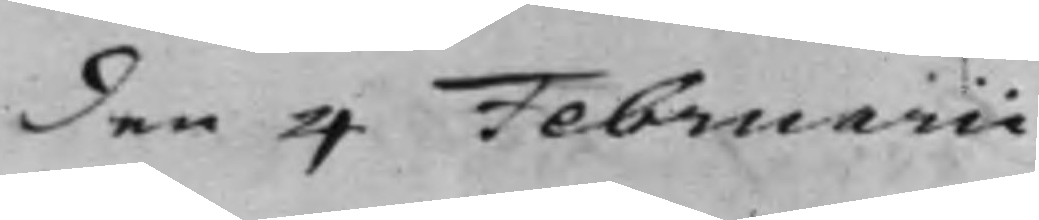den 4 Februarii
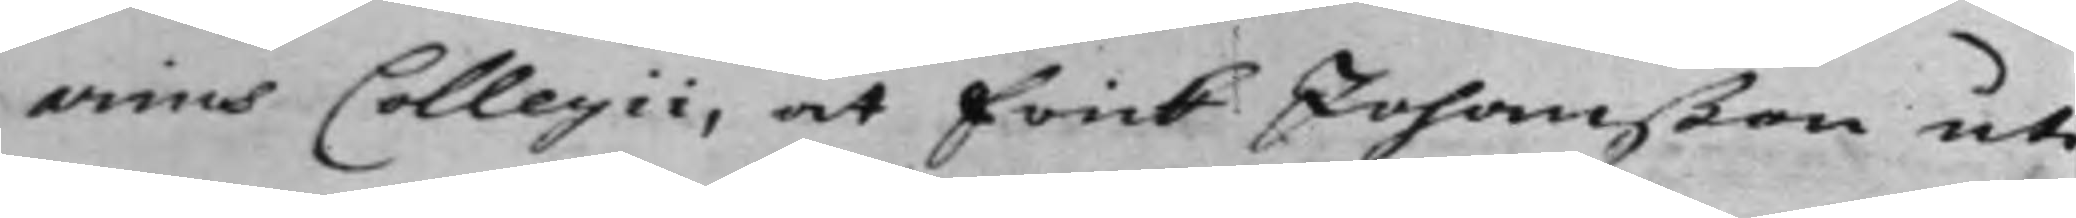arius Collegii, at Erick Johanßon ut¬
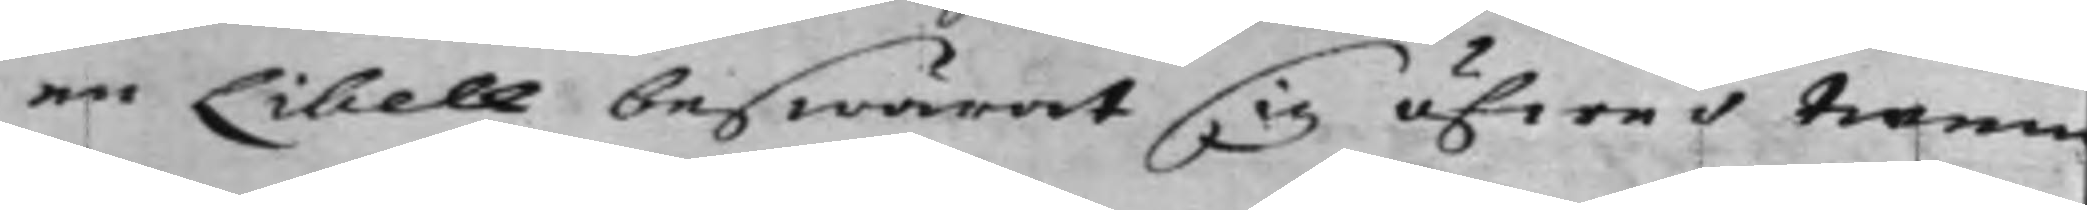an Libell beswärat sig öfwer trenn
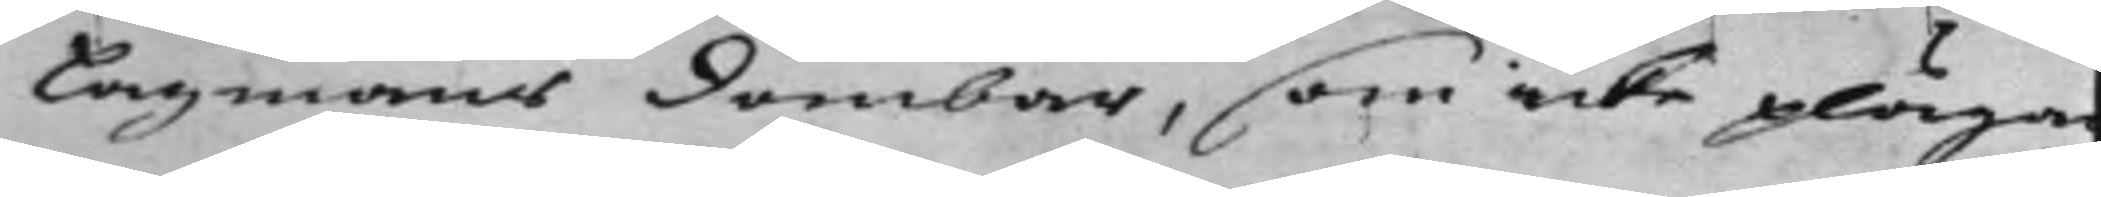Lagmans Dombar, som icke pläga
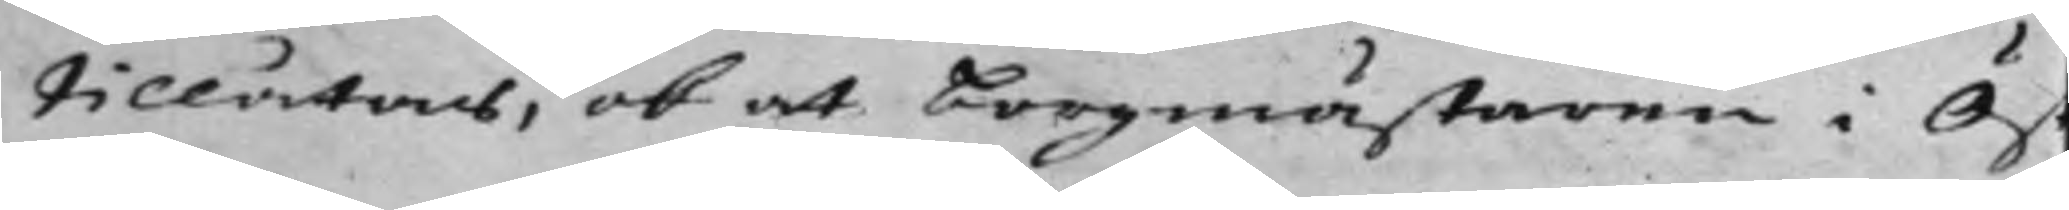tillåtas, ok at borgmästaren i Öst¬
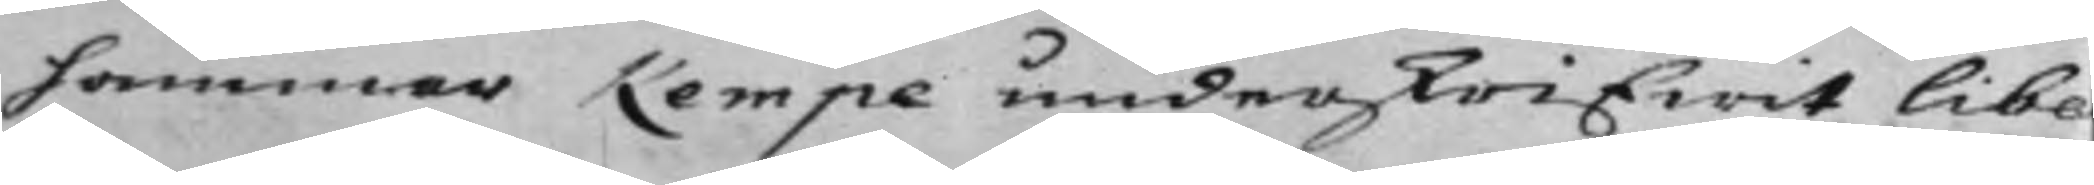hammar Kempe underskrifwit libe¬
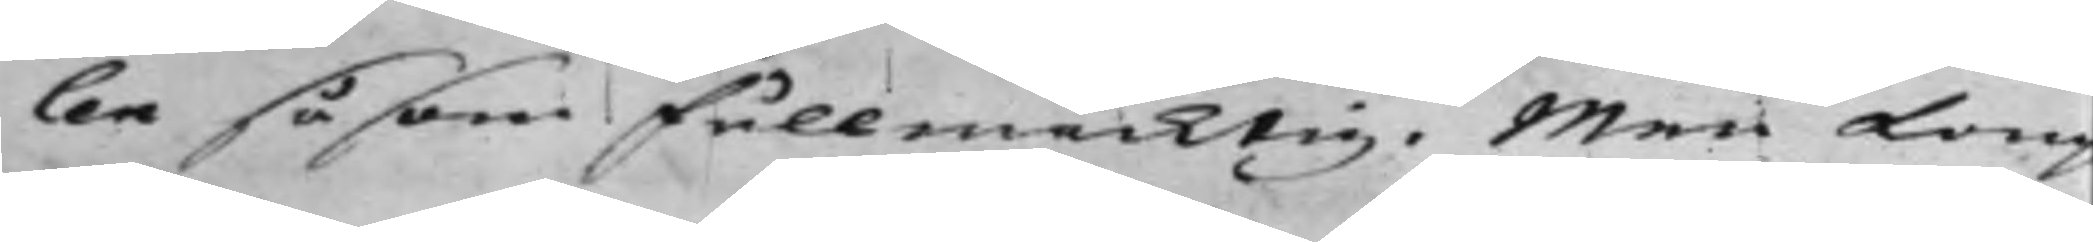len såsom fullmäcktig. Men Kong
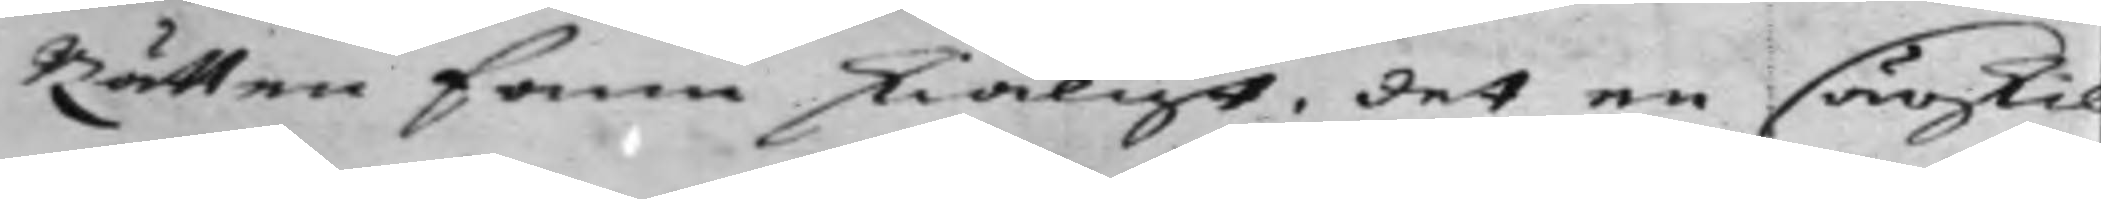Rätten fann skiäligt, det en särskil
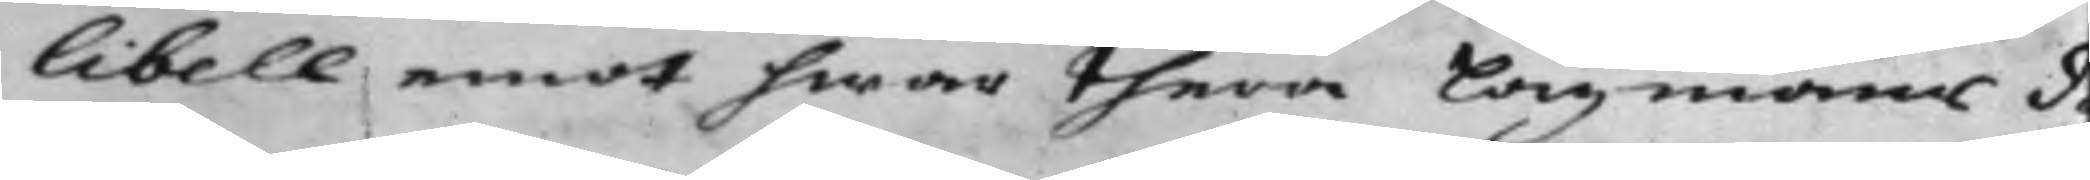libell emot hwar thera Lagmans d¬
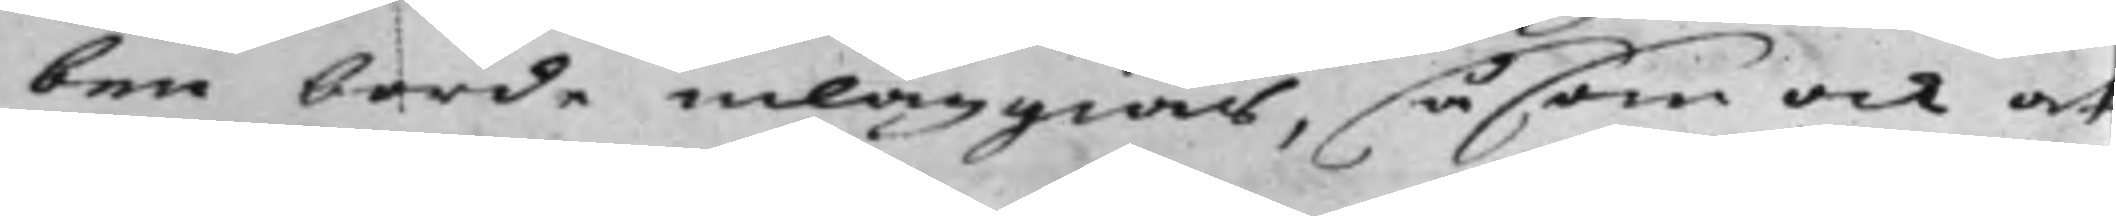ben borde inläggias, såsom ock at
